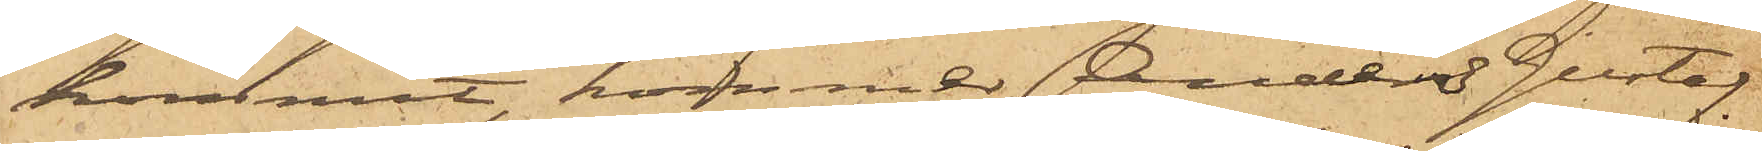kommit, kommer Anders Gustaf
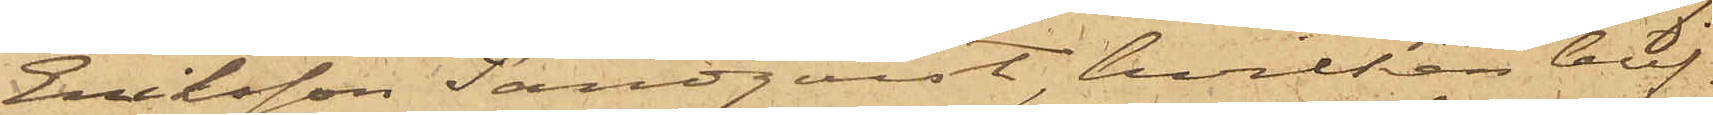Eriksson Sandquist, hvilken blif¬
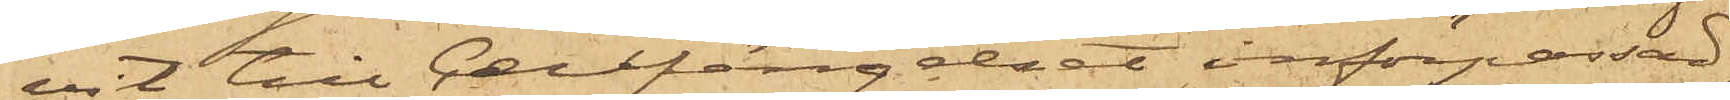vit till Cellfängelset införpassad,
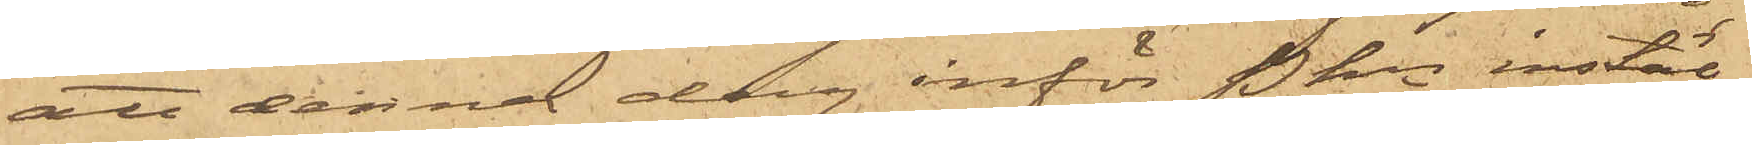att denna dag inför Pkn instäl¬
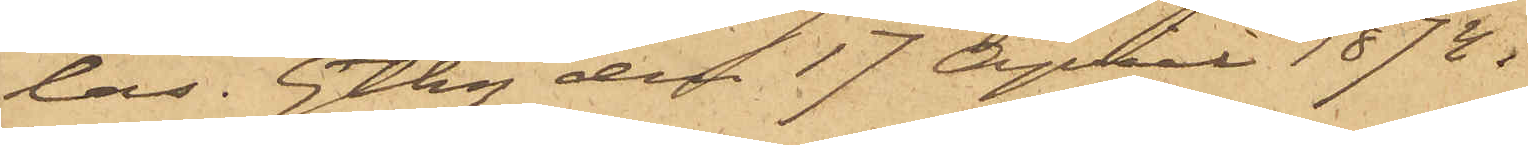las. Gtbg den 17 April 1874.
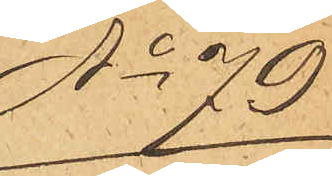No 79
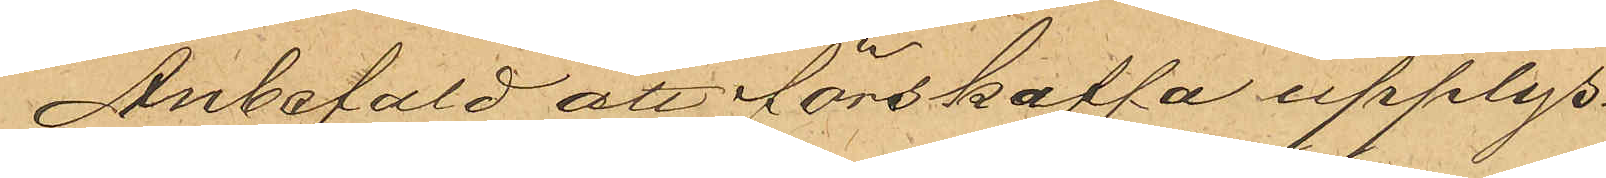Anbefald att förskaffa upplys¬
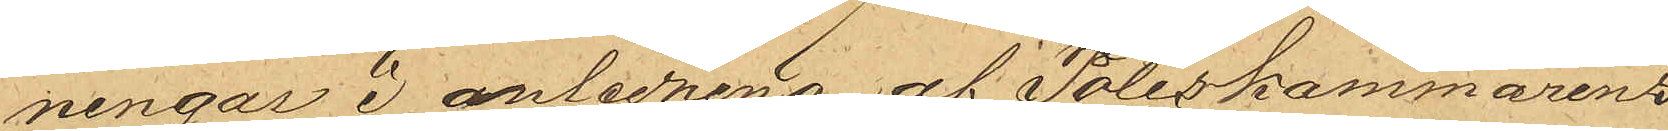ningar i anledning af Poliskammarens
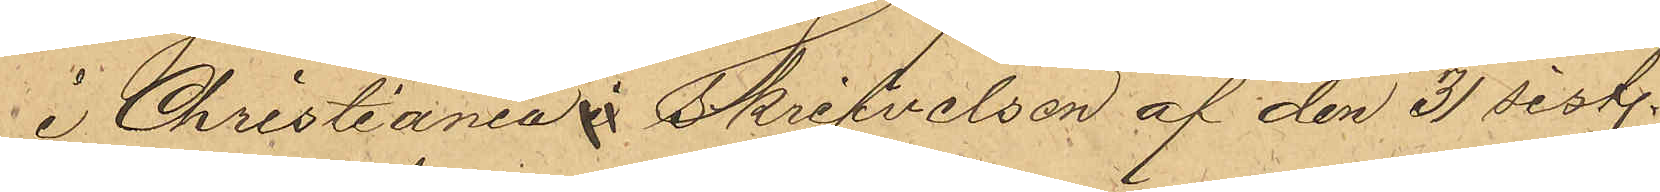i Christiania i Skrifvelsen af den 31 sist.
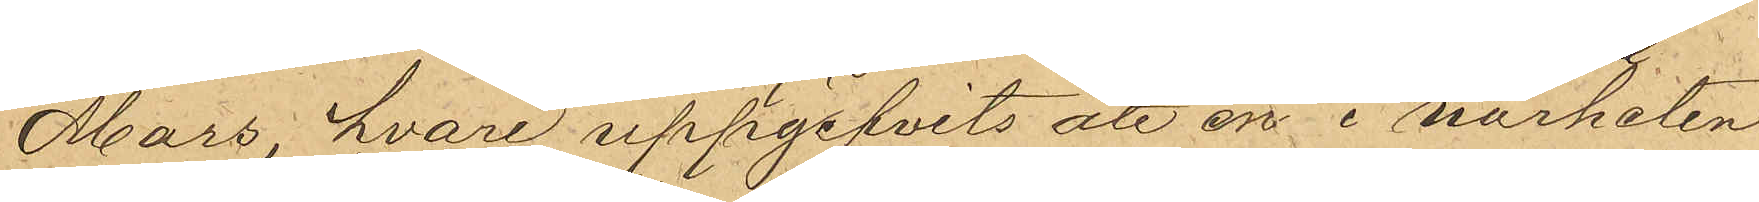Mars, hvari uppgifvits att en i närheten
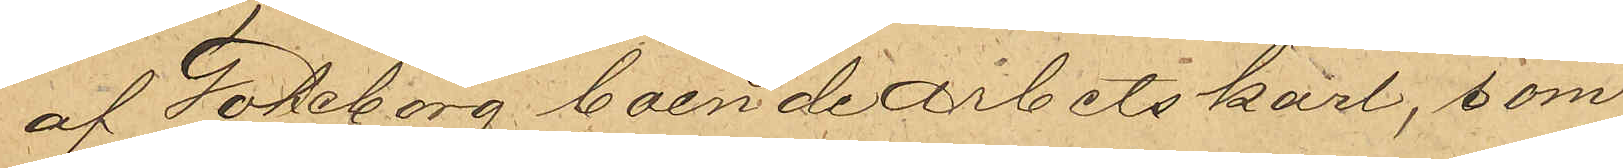af Göteborg boende Arbetskarl, som
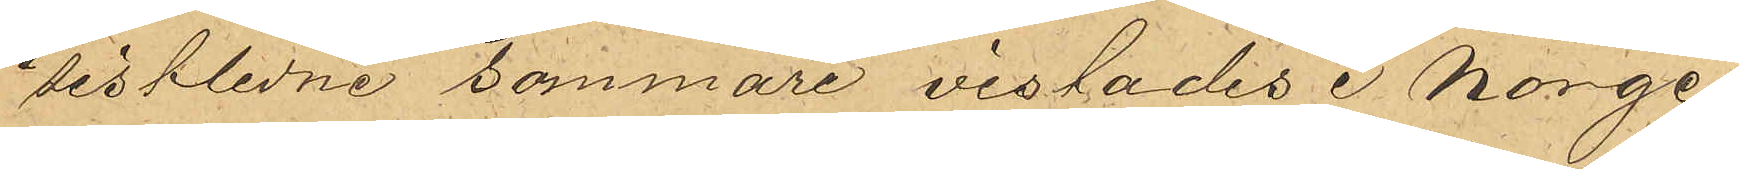sistlidne sommare vistades i Norge,
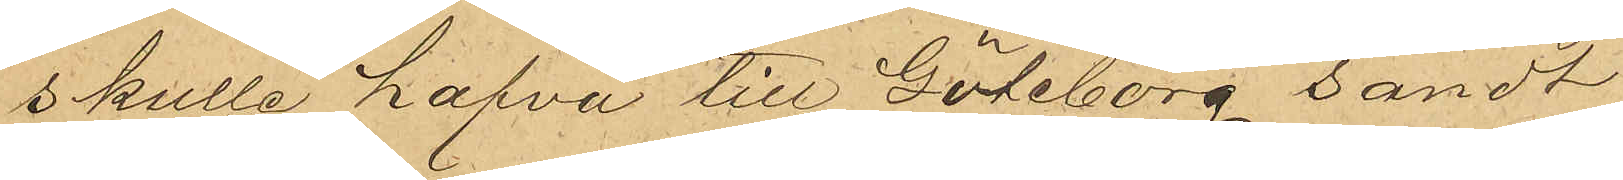skulle hafva till Göteborg sändt
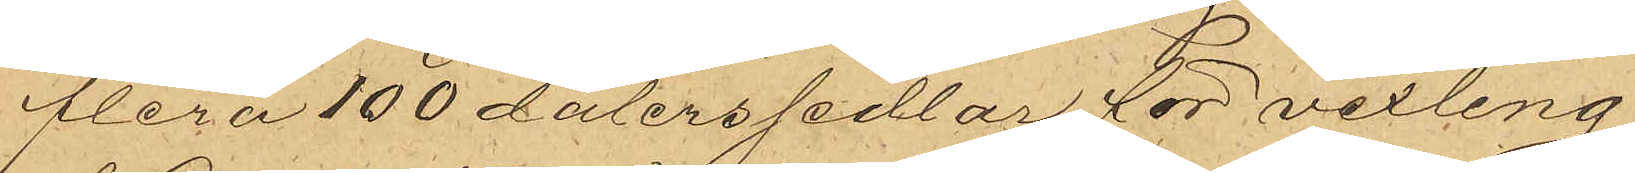flera 100 dalerssedlar för vexling,
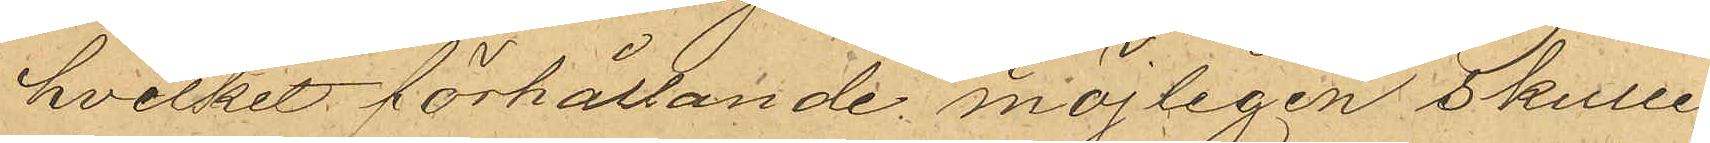hvilket förhållande möjligen skulle
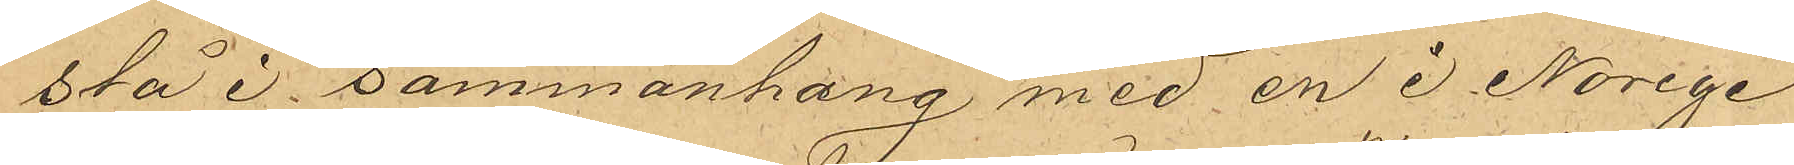stå i sammanhang med en i Norige
